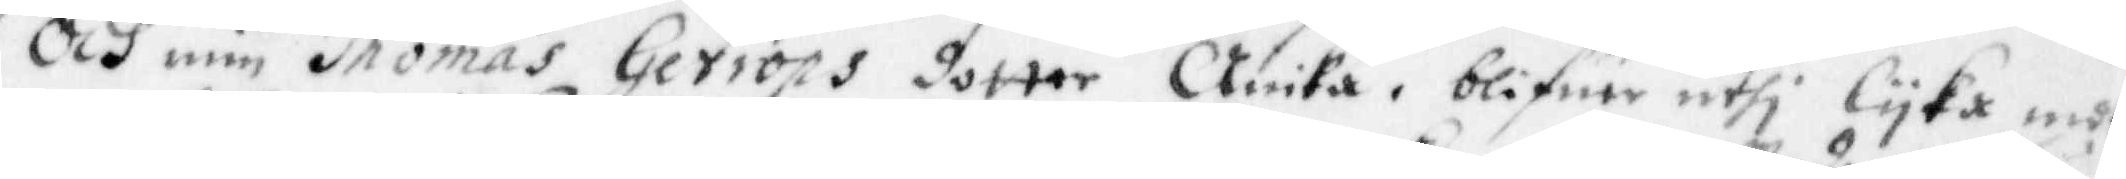Och min Thomas Getrops dotter Anika, blifwer uthi lyka mot¬
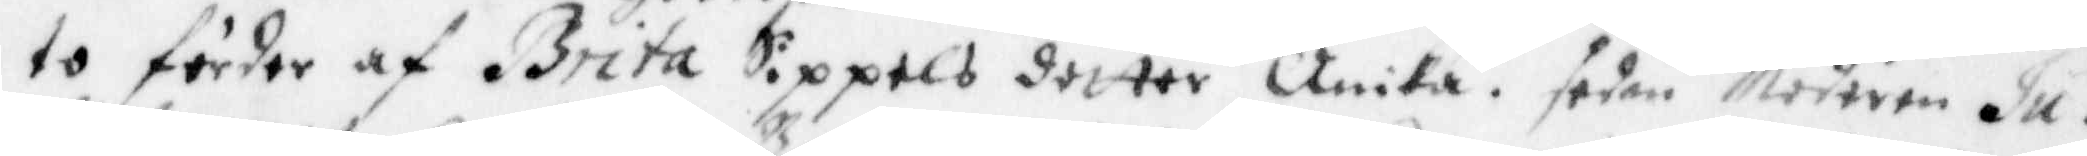to förder af Brita Sippels dotter Anika, sedan Modren Ju¬
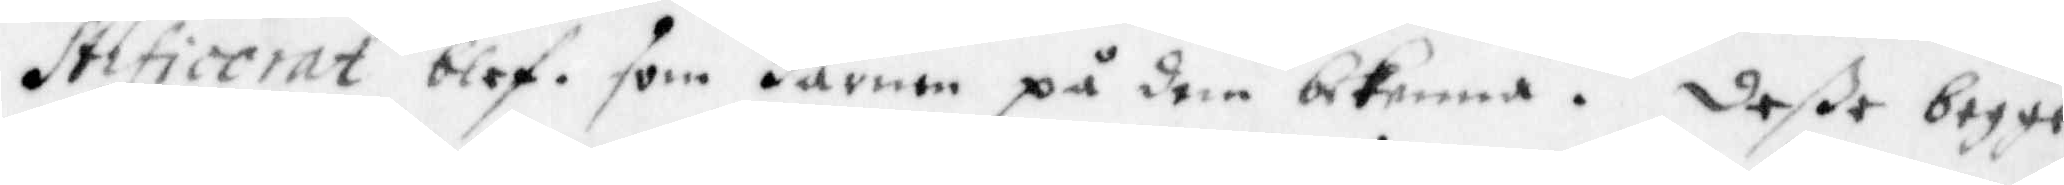stificerat blef, som Barnen på dem bekenna. Deße begge
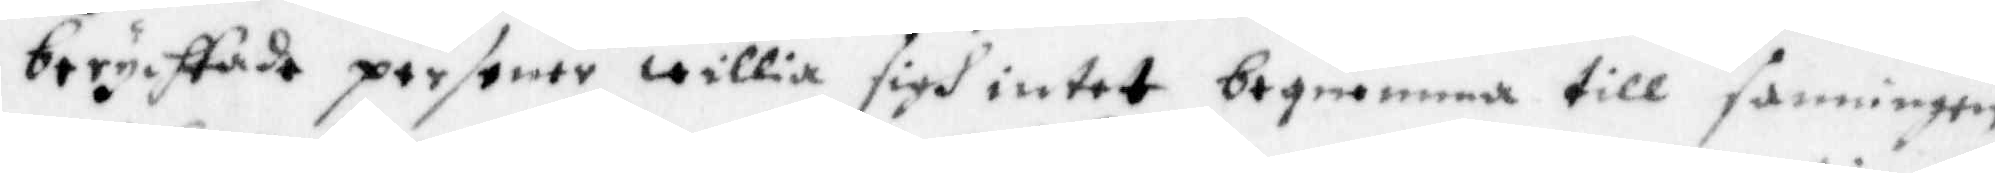berychtade personer willia sigh intet beqwämma till sanningen
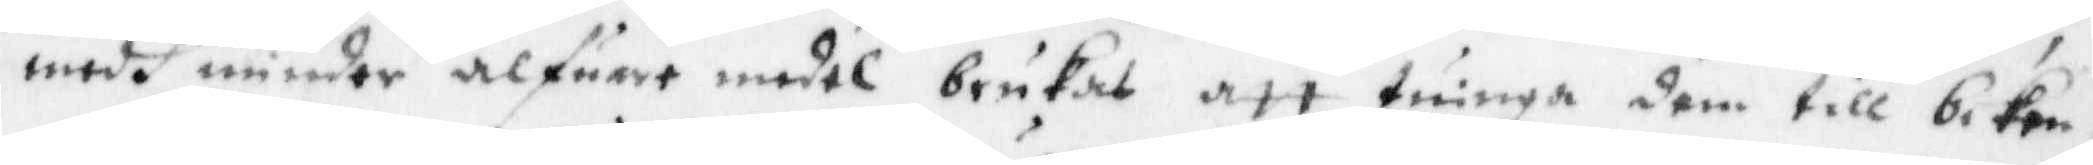medh mindre alfuar medel brukas, att twinga dem till beken¬
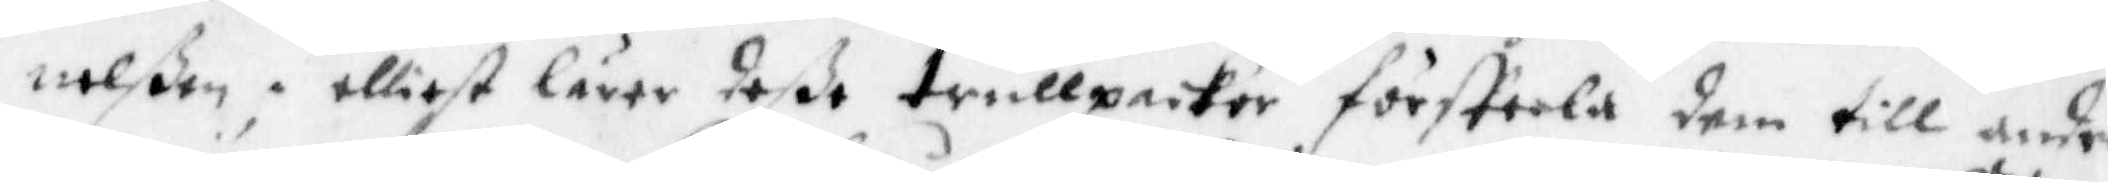nelßen; elliest lärer deße trollpackor försteela dem till andra
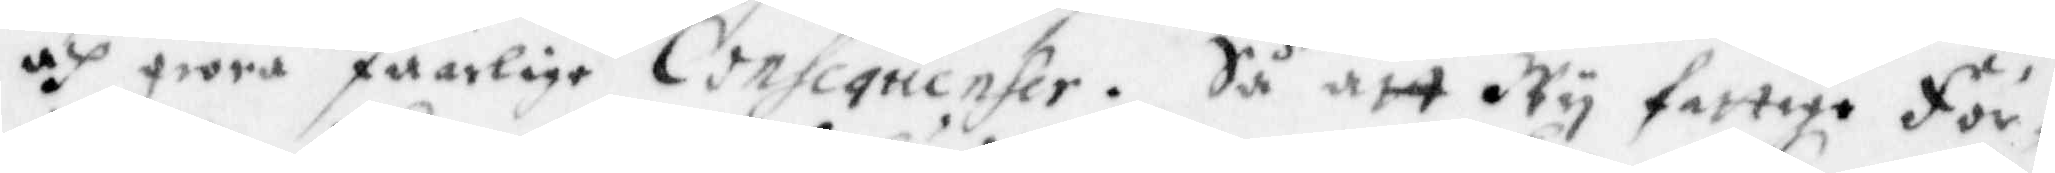och giöra faarlige Consequenser. Så att Wy fattige för¬
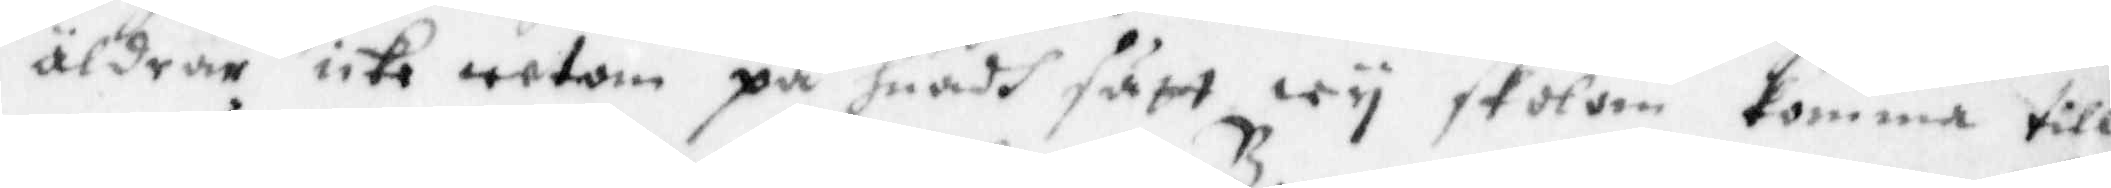äldrar icke wetom på hwadh sätt wy skolom komma till
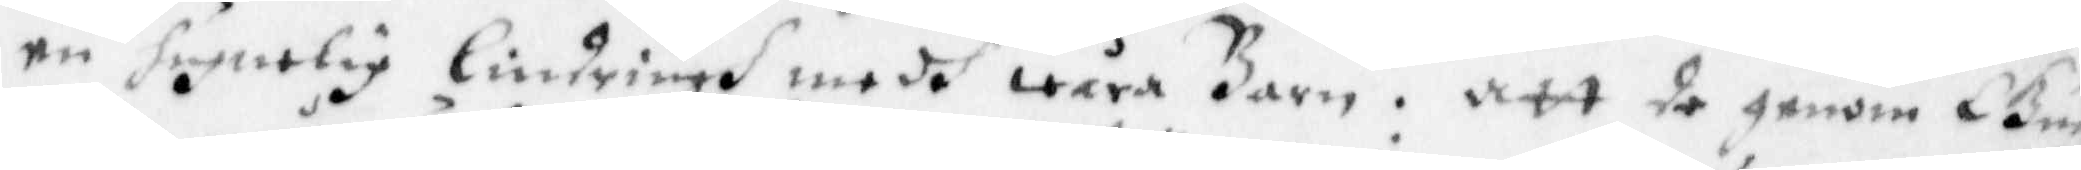en hugelig lindringh medh wåra Barn. Att de genom Gudz
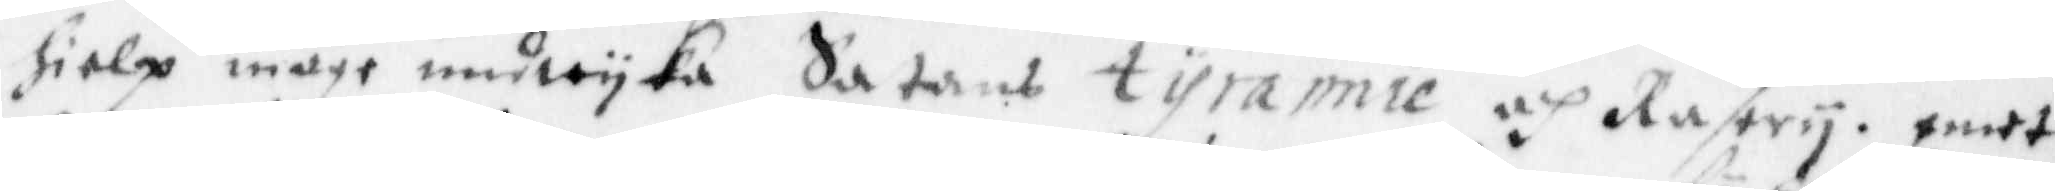hielp måge undwyka Satans tyrannie och Rasery, emot
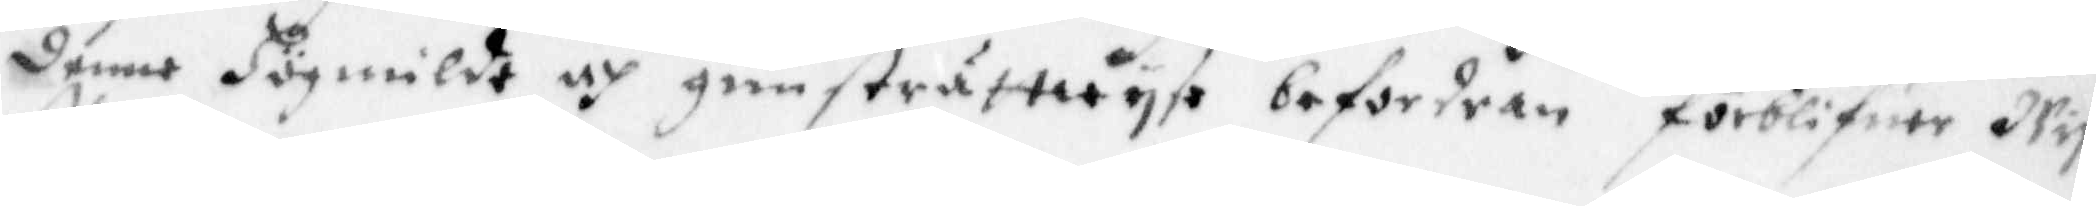denne Högmilde och gunsträttwyse befordran förblifwer Wy
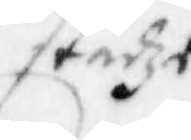städze
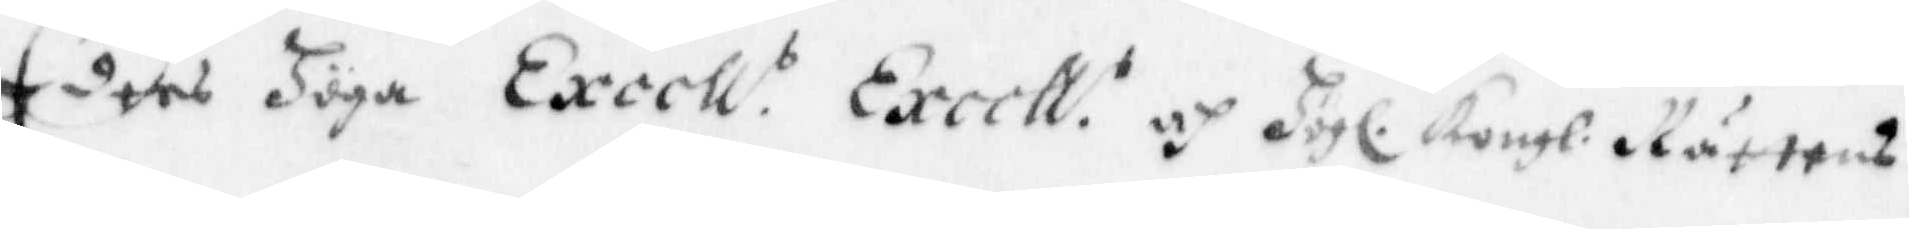Eders Höga Excell:s Excell:s och Högl. Kongl. Rättens
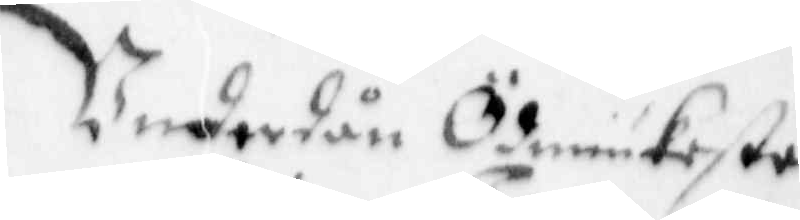Underdån Ödmiukeste
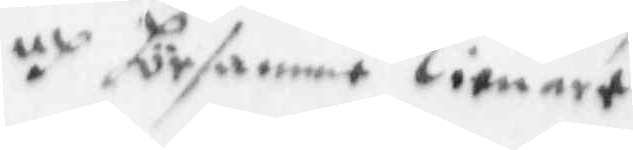och församme Tienare
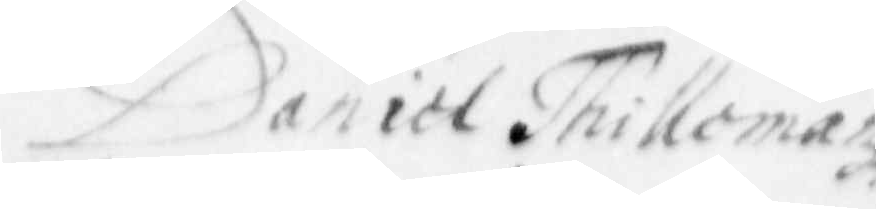Daniel Thillomanz
